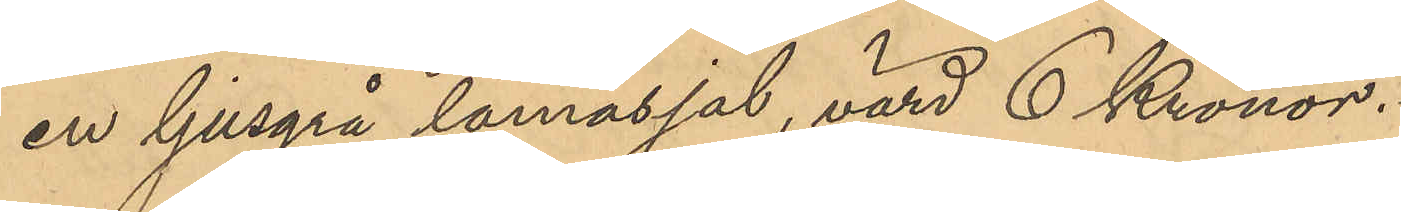en ljusgrå lamasjal, värd 6 Kronor.
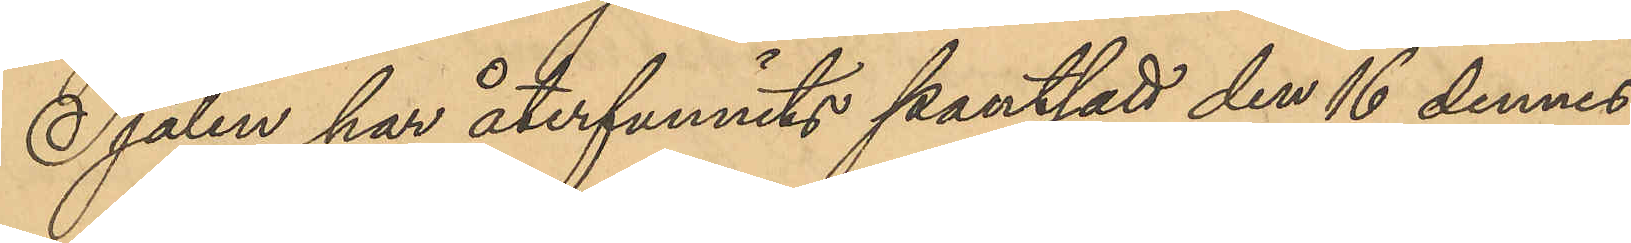Sjalen har återfunnits pantsatt den 16 dennes
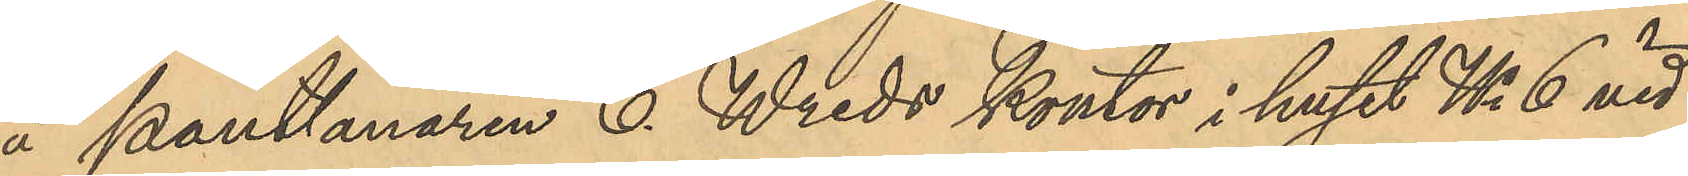å Pantlånaren C. Wreds kontor i huset No 6 vid
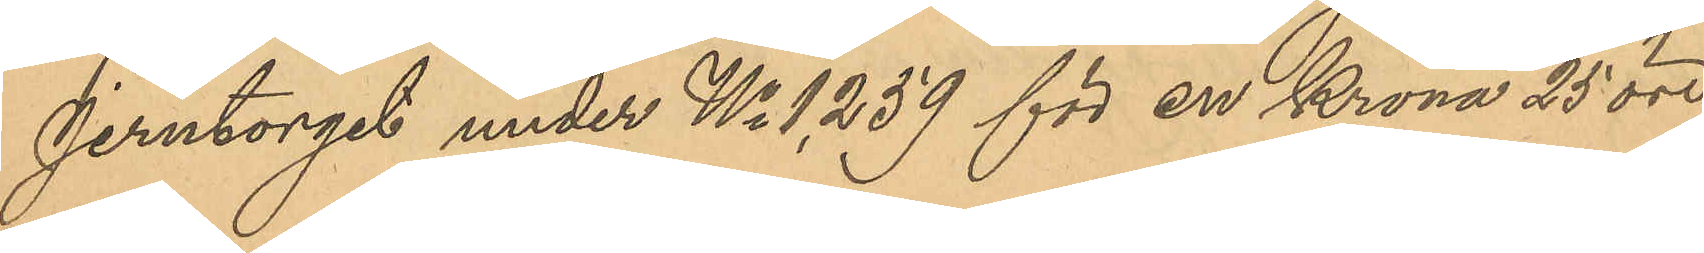Jerntorget under No 1,259 för en Krona 25 öre
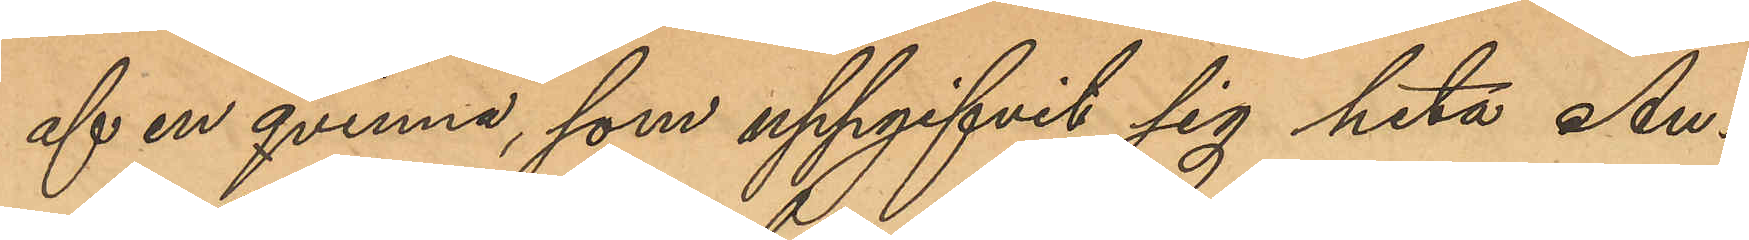af en qvinna som uppgifvit sig heta An¬
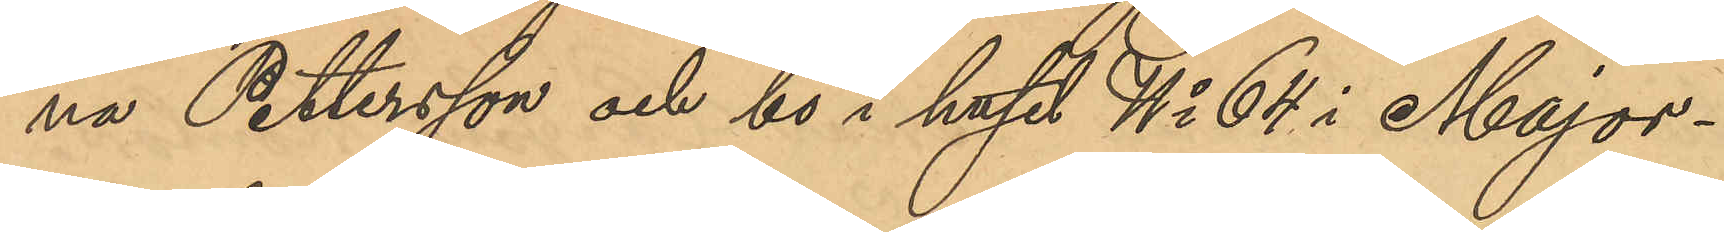na Pettersson och bo i huset No 64 i Major¬
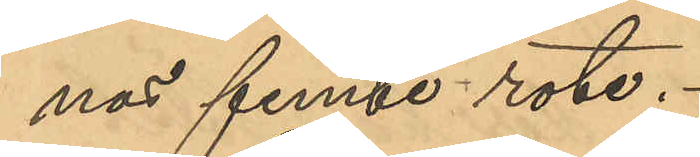nas femte rote.
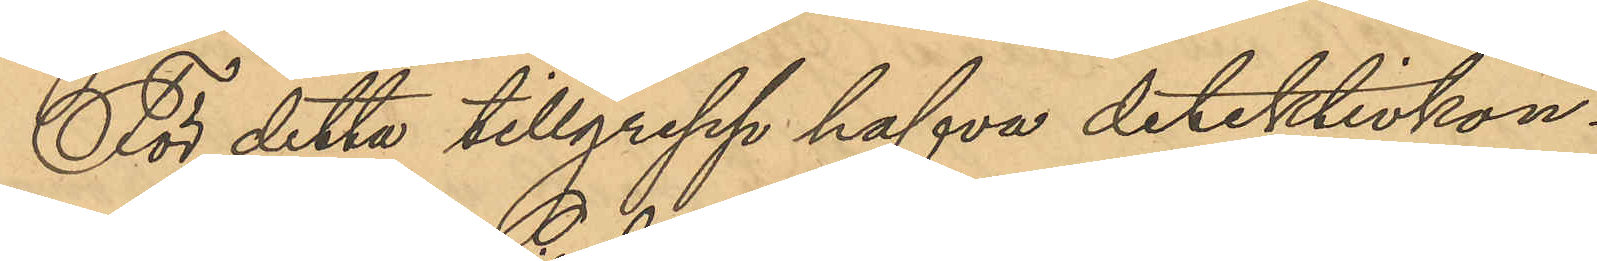För detta tillgrepp hafva detektivkon¬
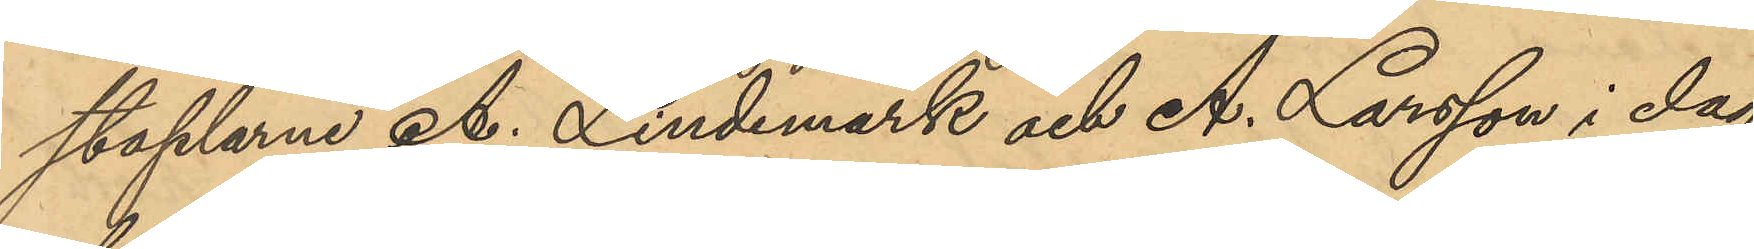staplarne A. Lindemark och A. Larsson i dag
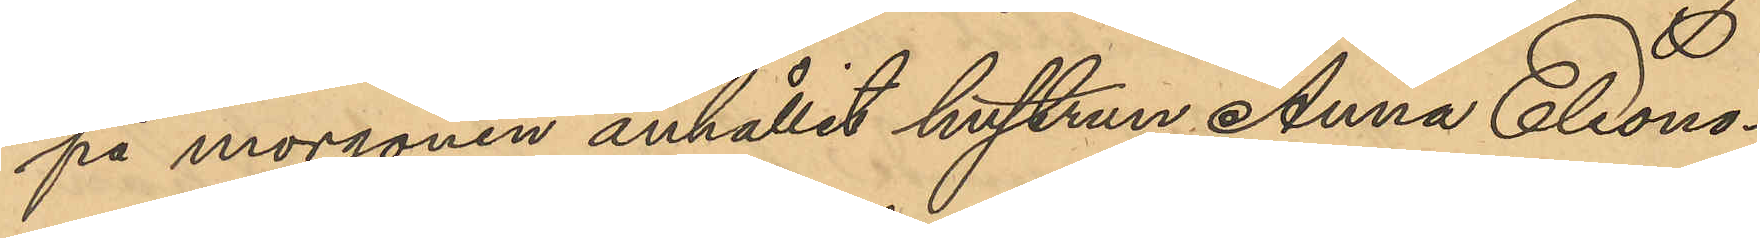på morgonen anhållit hustrun Anna Eleono¬
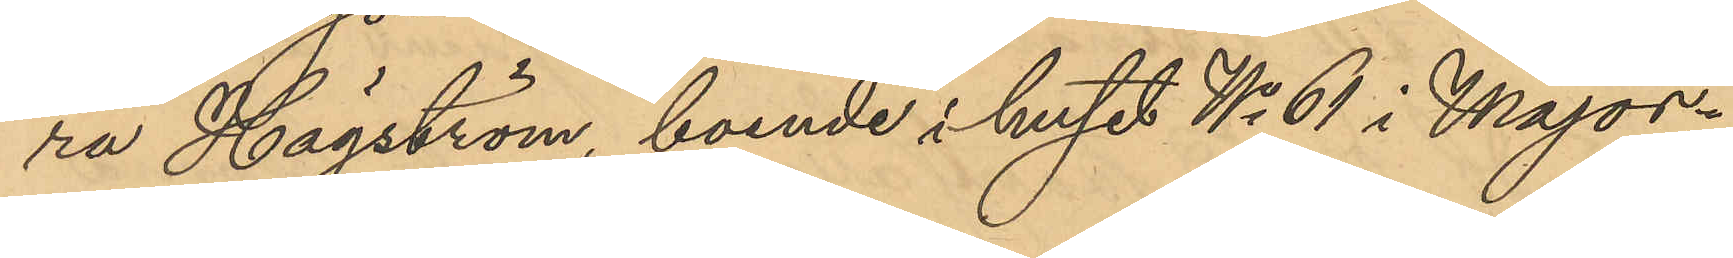ra Högström, boende i huset No 61 i Major¬
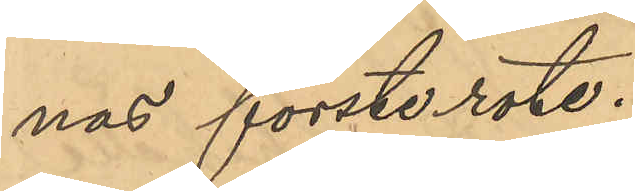nas förste rote.
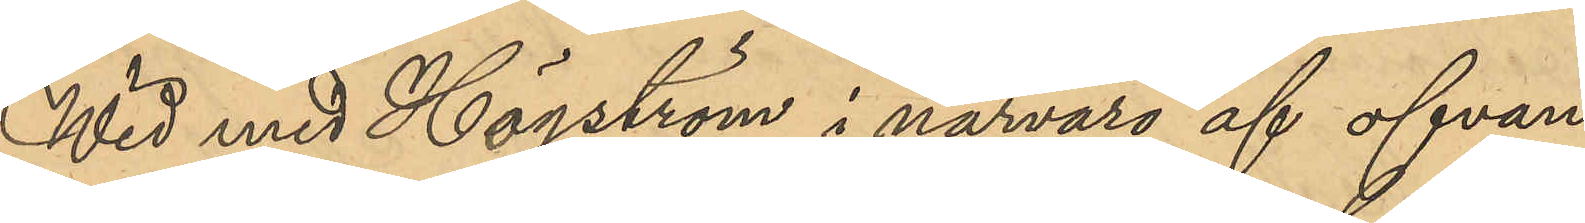Wid med Högström i närvaor af ofvan¬
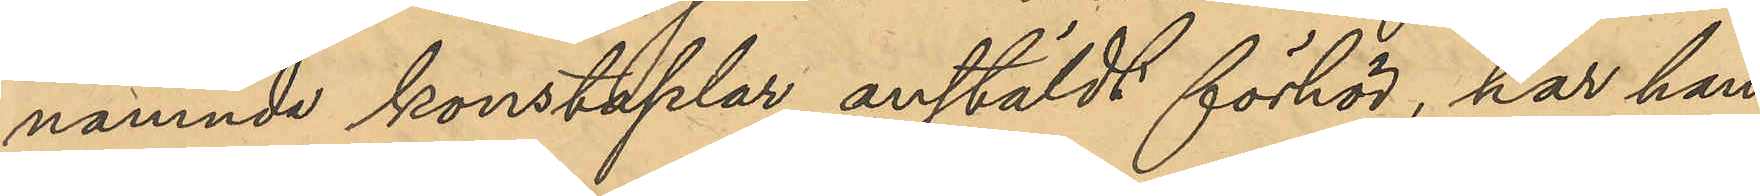nämnde konstaplar anstäldt förhör, har hon
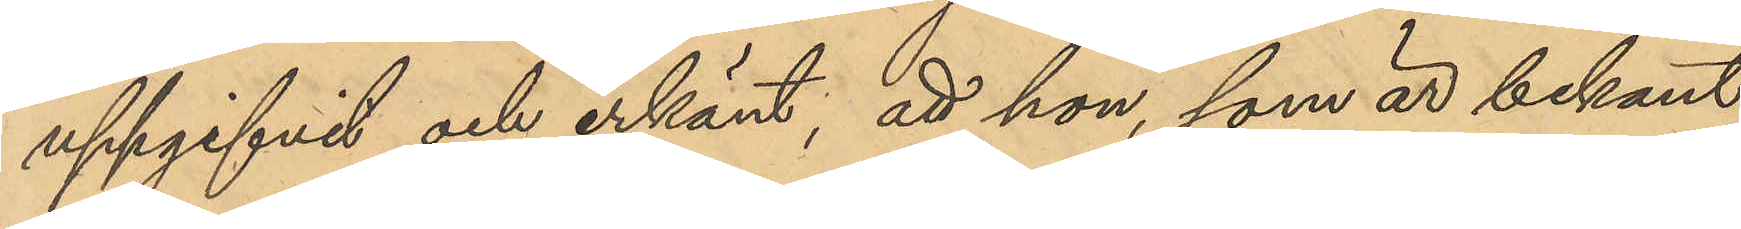uppgifvit och erkänt, att hon, som är bekant
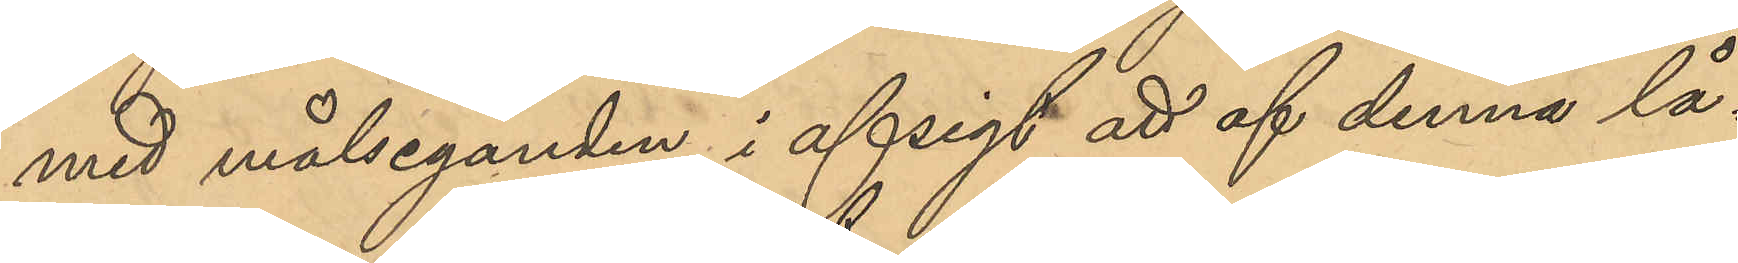med målseganden, i afsigt att af denna lå¬
